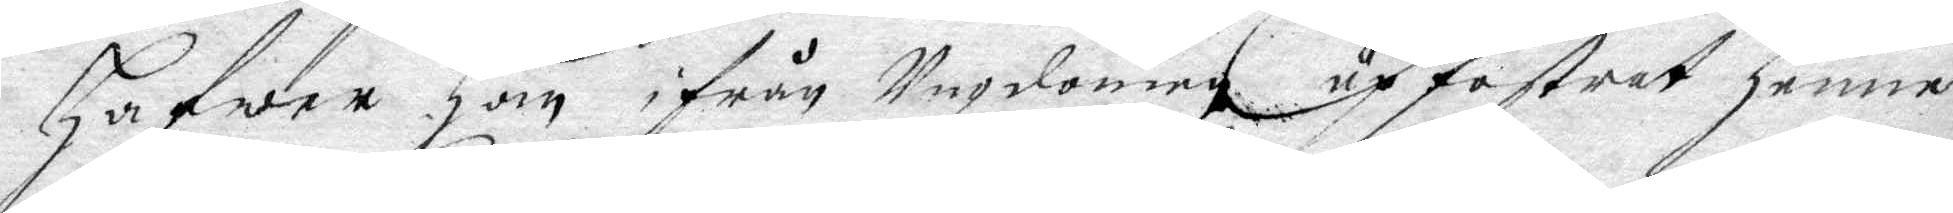hafwer han ifrån Ungdomen upfostrat henne
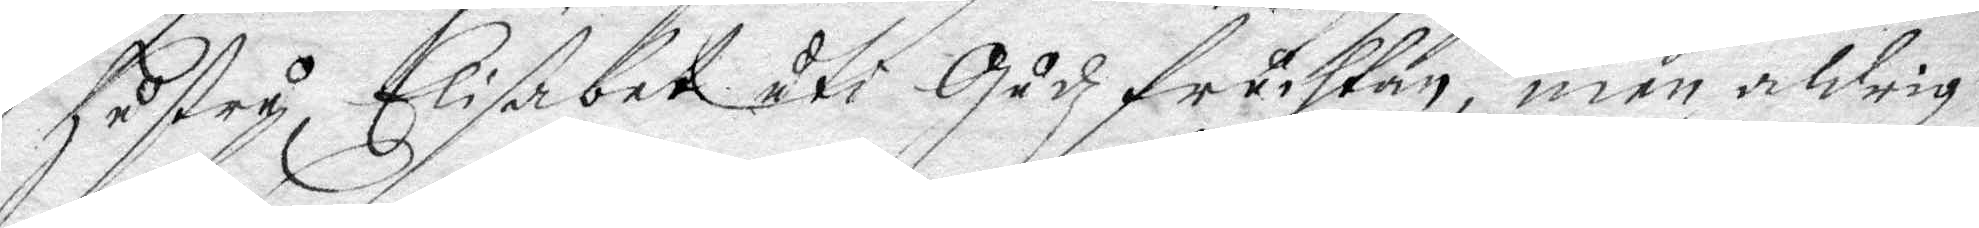hustru Elisabet uti Gudz fruchtan, men aldrig
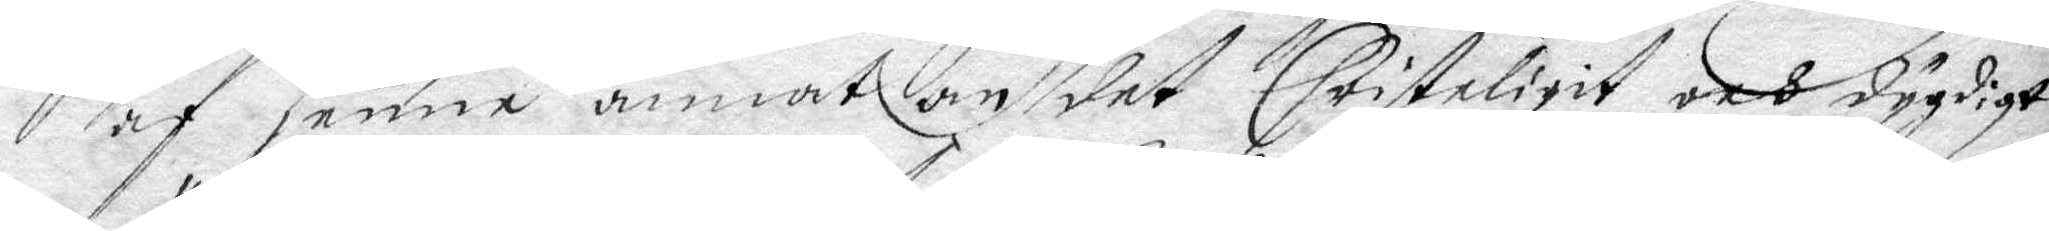af henne annat om det Christeligit och dygdigt
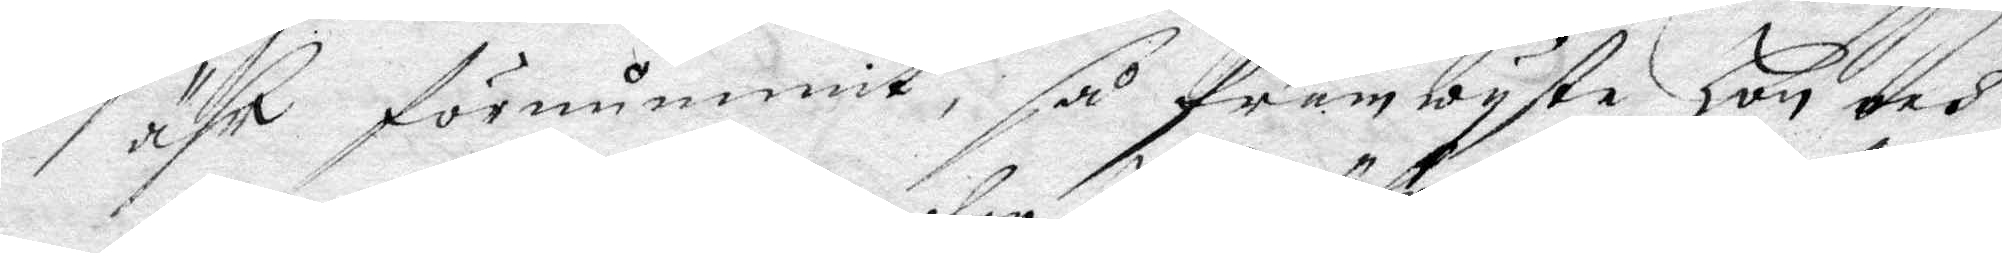ähr förnummit, så framwyste Hon och
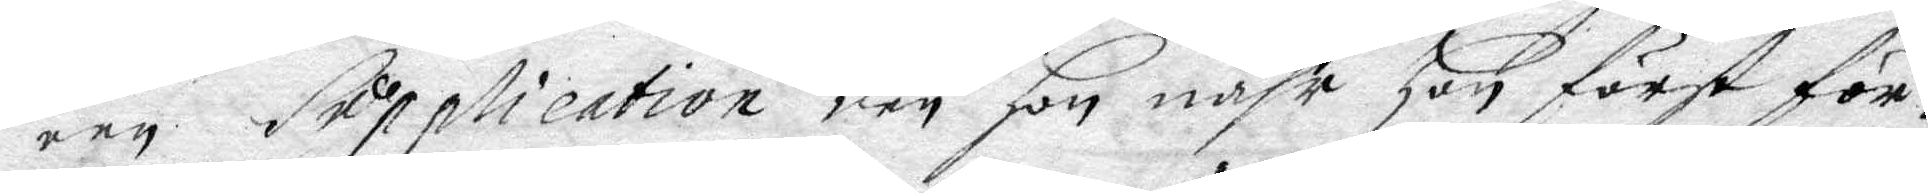een Supplication den hon nähr hon först för¬
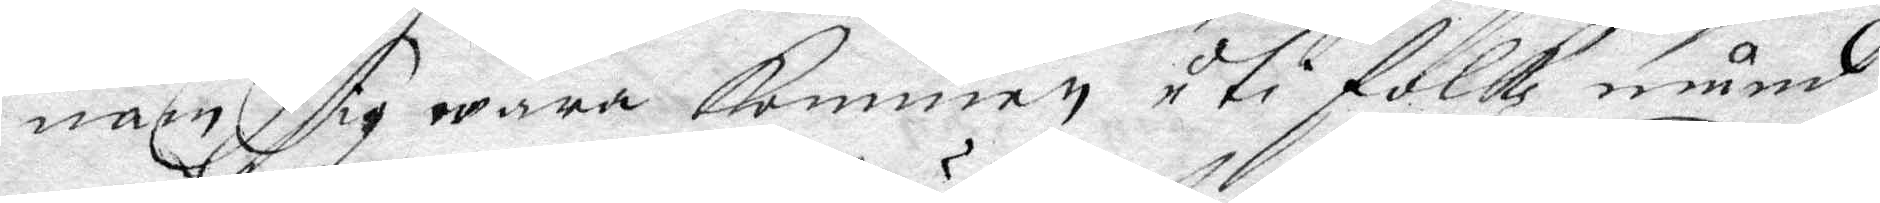nam sig wara kommen uti folk mund
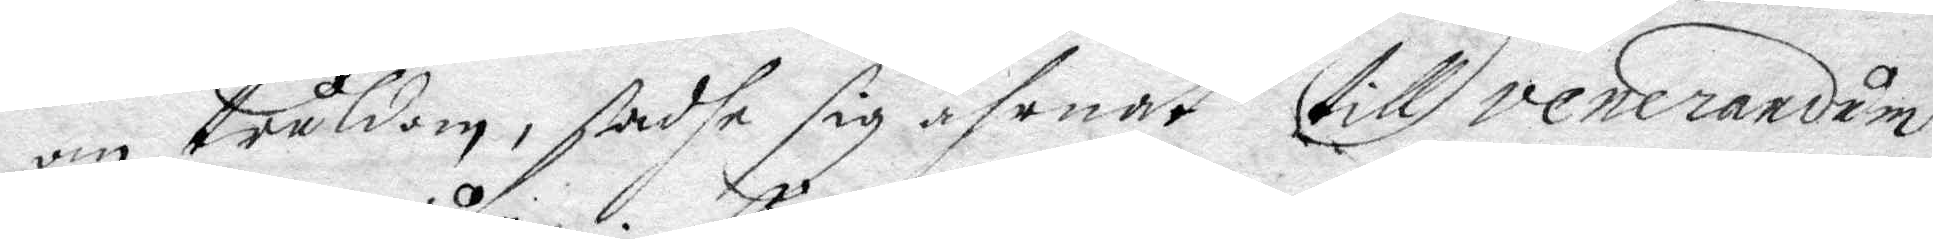om tråldom, sadhe sig ährnat till venerandum
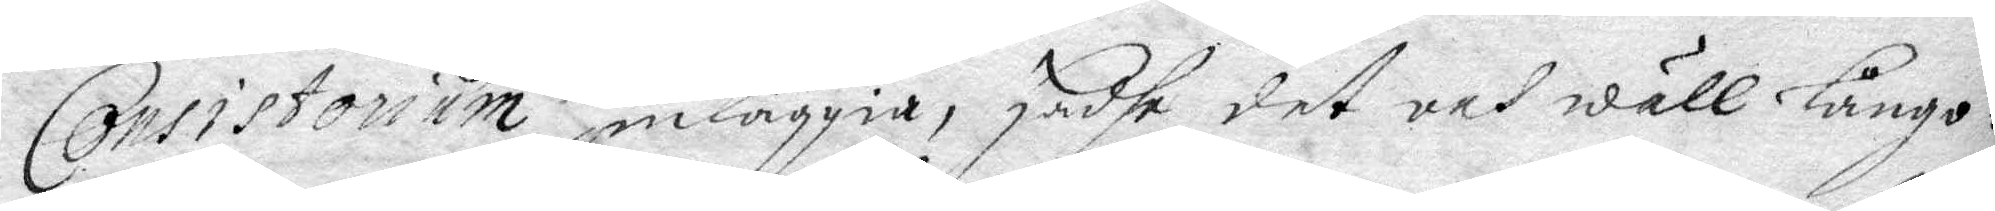Consistorium inläggia, hadhe det och wäll långo¬
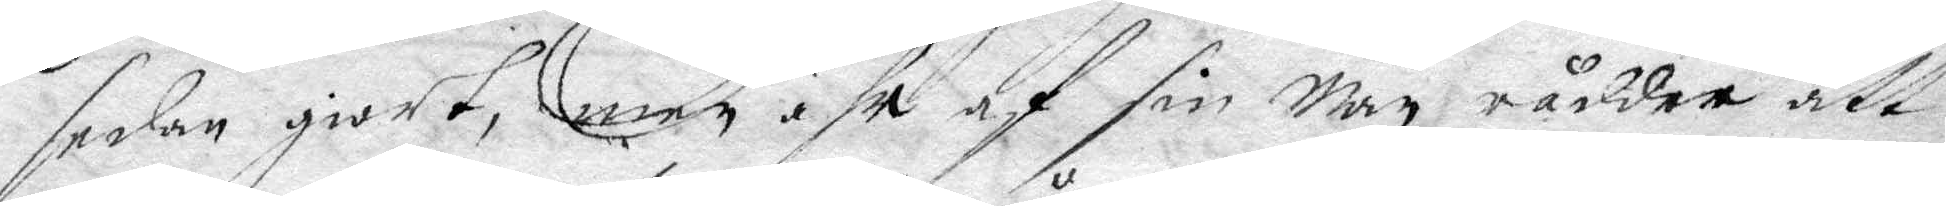sedan giort, men ähr af sin man rådder, att
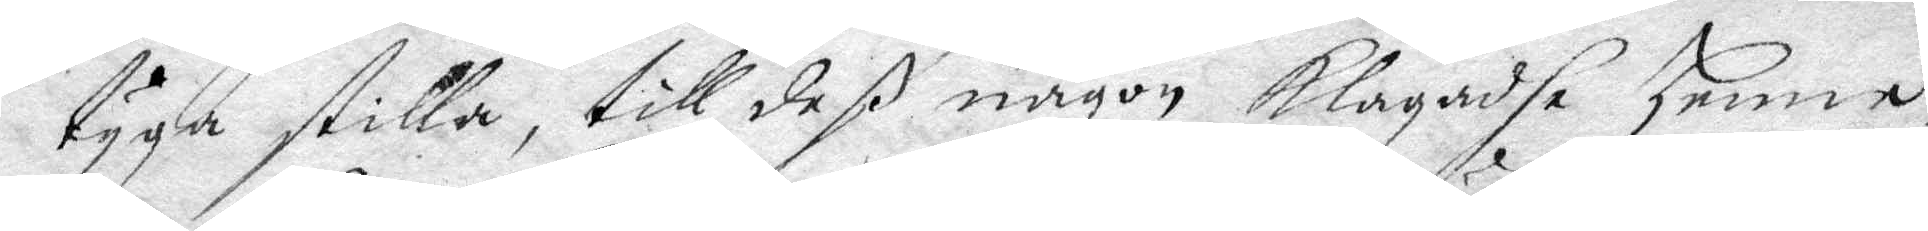tyga stilla, till deß någon klagadhe henne
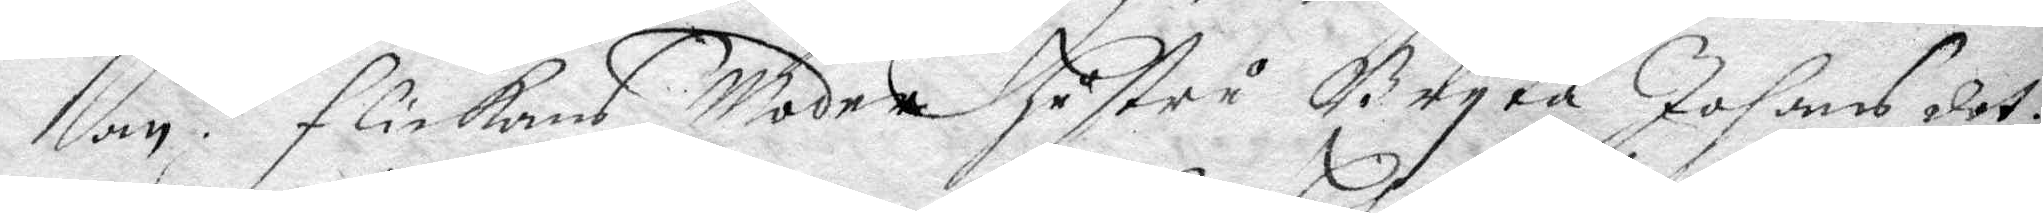an. Flickans Moder hustru Bryta Johans det¬
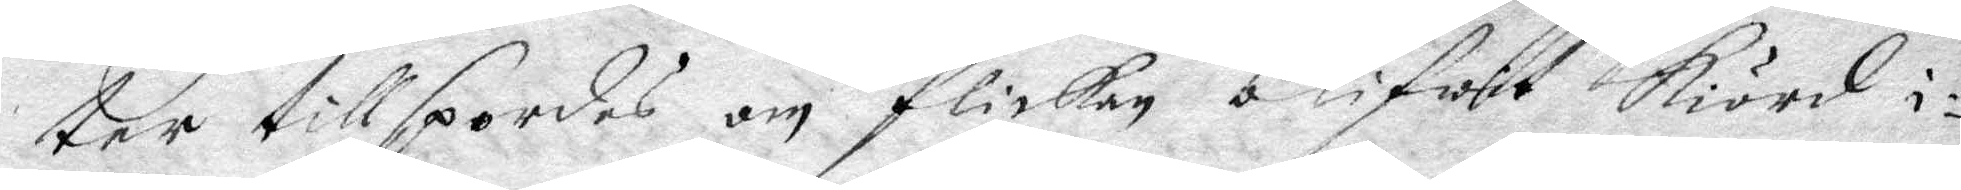ter tillspordes om flickan blifwet kiörd i¬
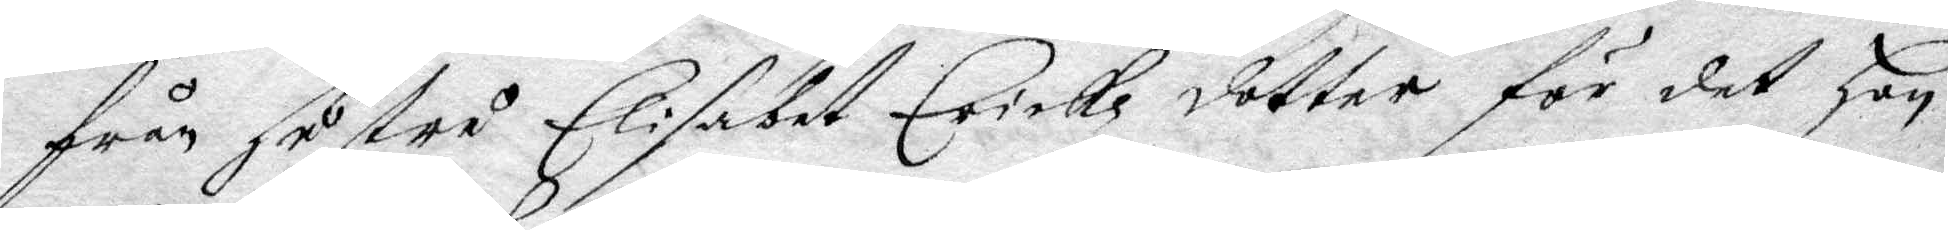från hustru Elisabet Erickz dotter för det Hon
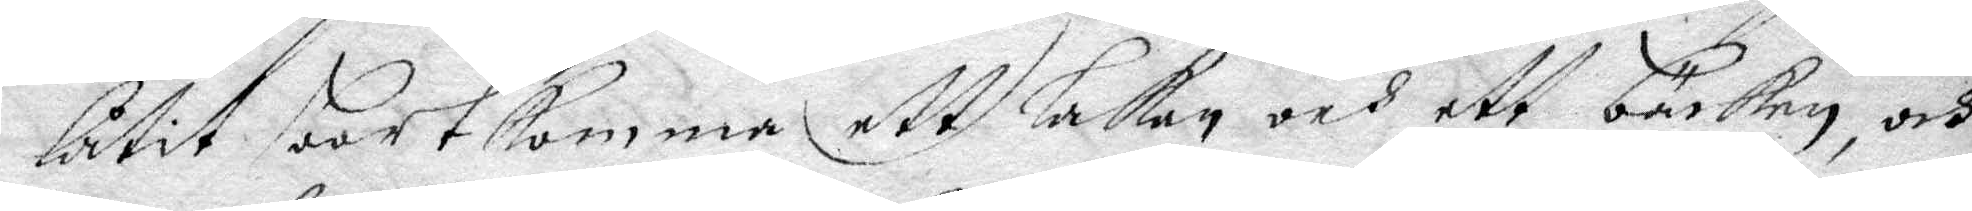låtit bortkomma ett Lakan och ett backen, och
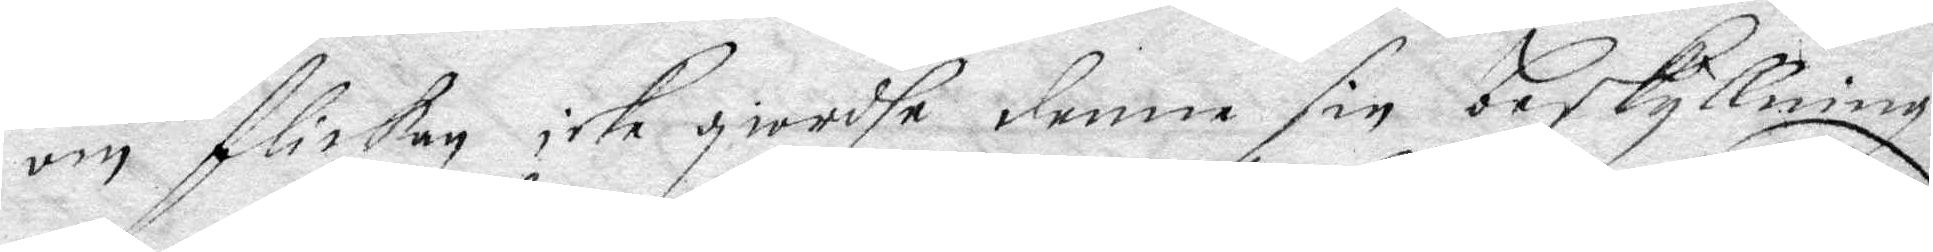om flickan icke giordhe denne sin beskyllning
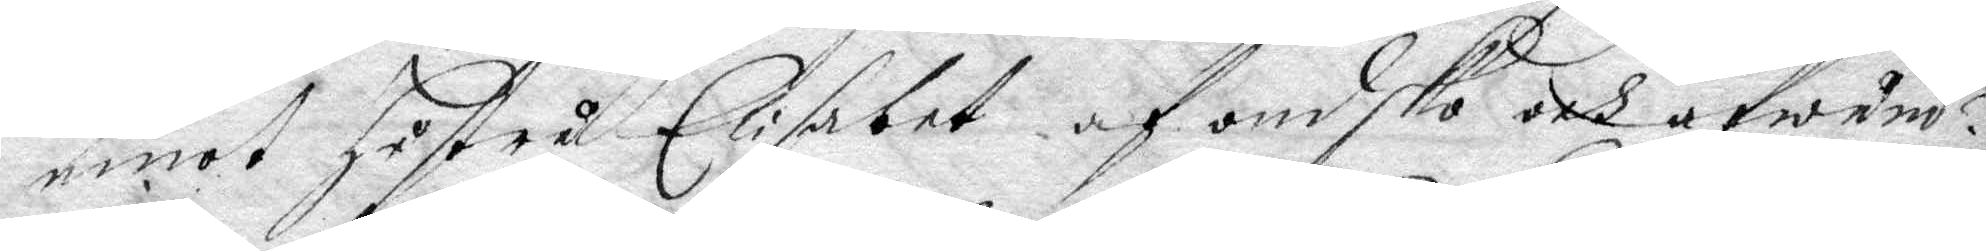emot hustru Elisabet af ondsko och afwund?
